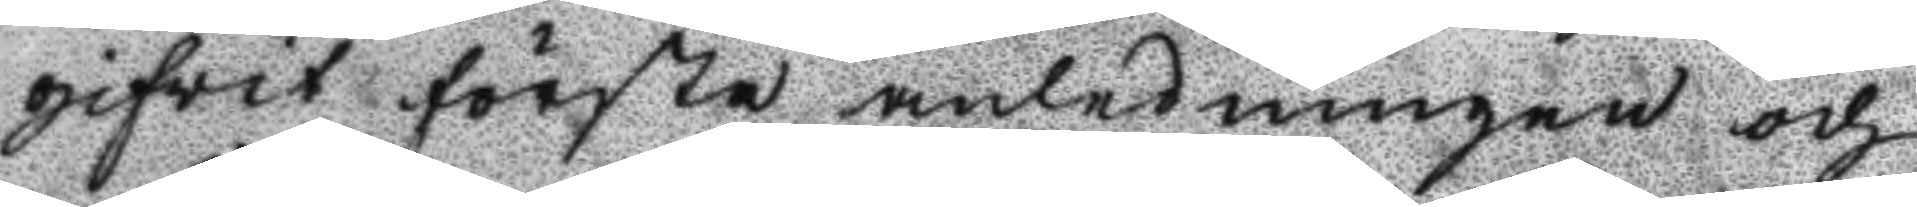gifvit första anledningen och
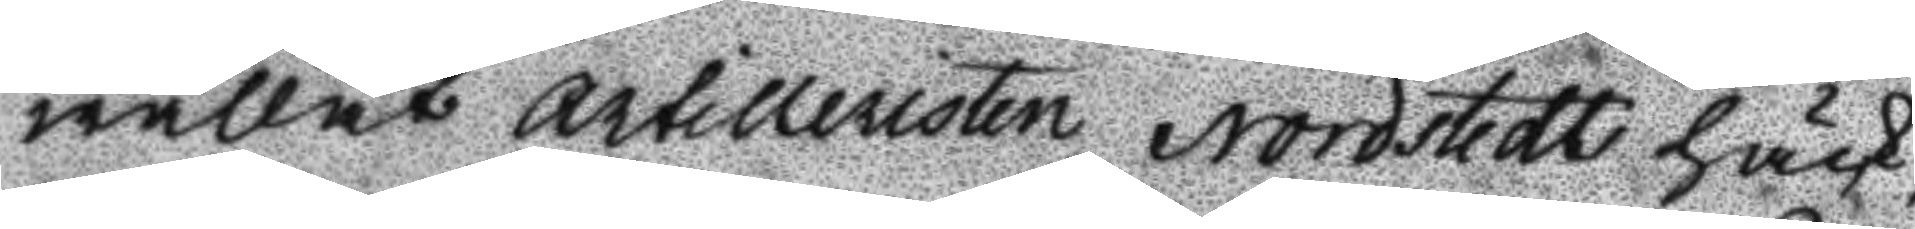wållat artilleristen Nordstedt häck¬
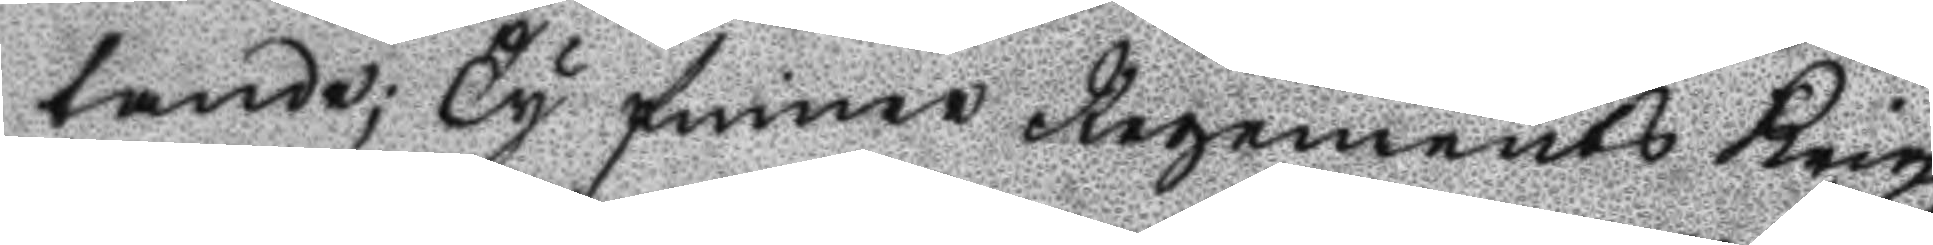tande; Ty finner Regements Krigz
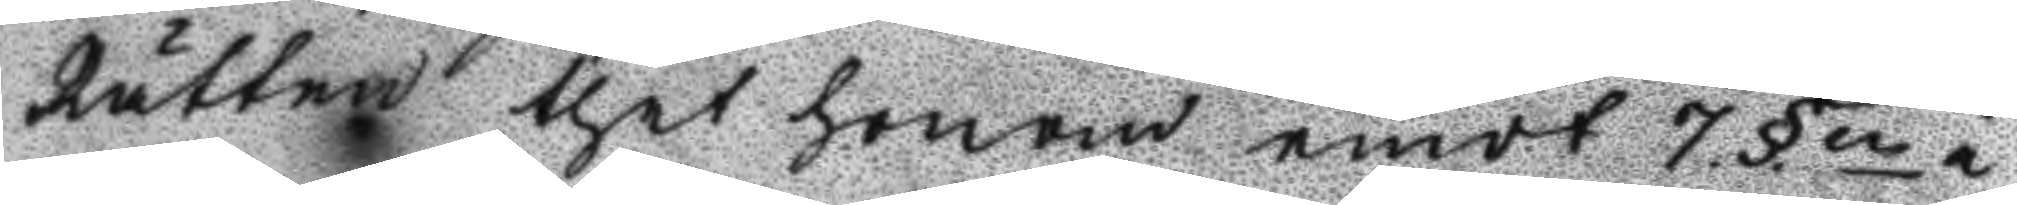Rätten thet homon emot 7. §.n i
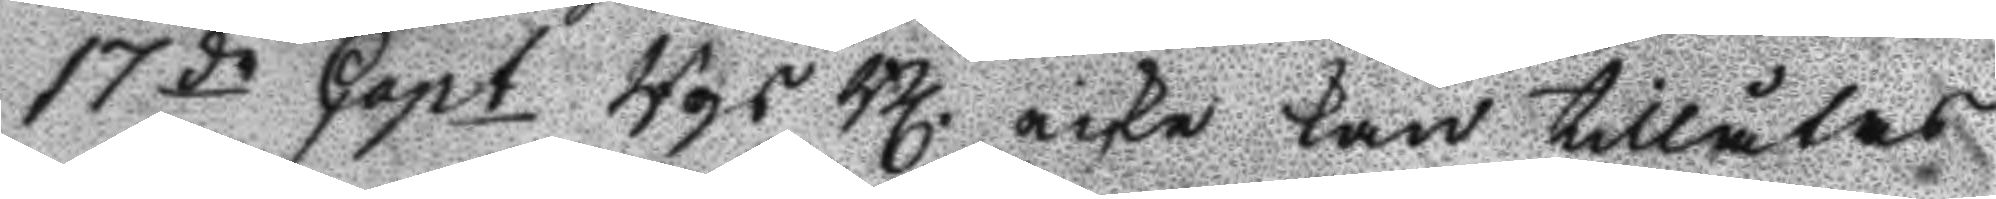17de Capt Rgs Bl icke kan tillåtas
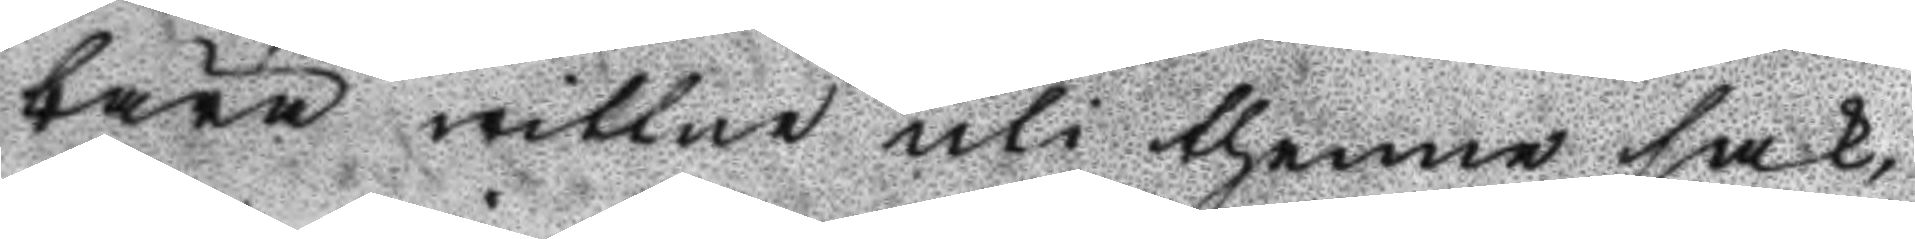bära wittne uti thenne sak,
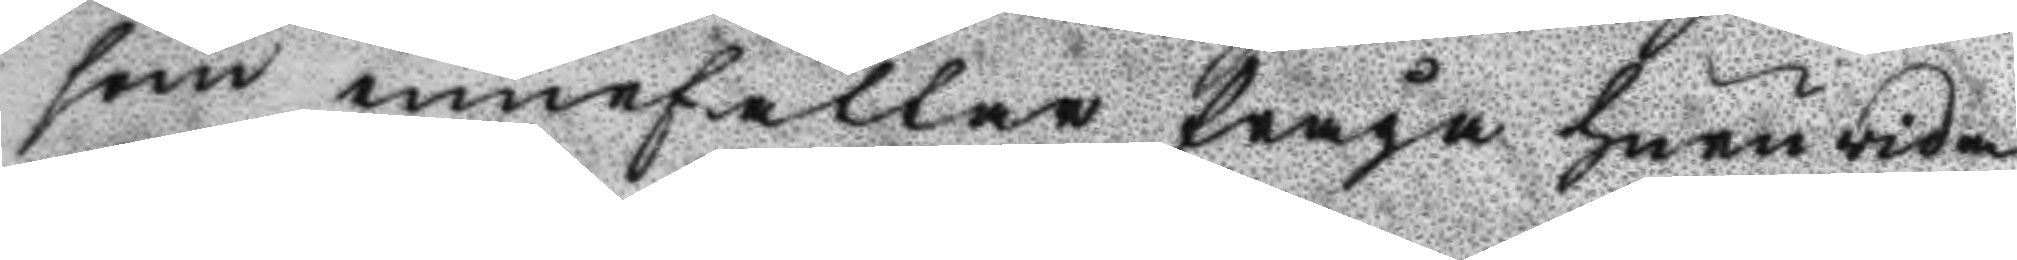som innefaller fråga huruwida
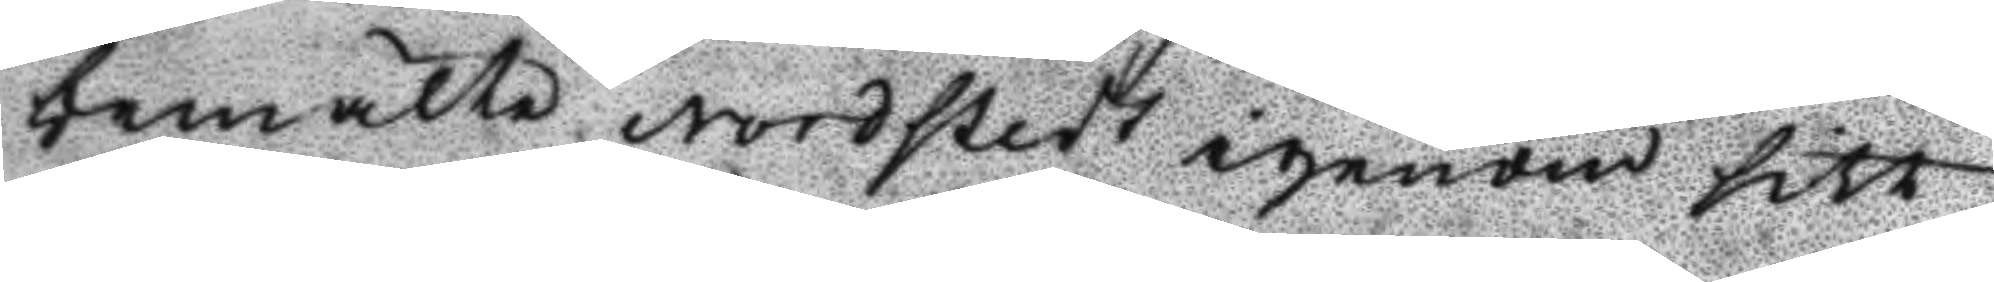bemälte Nordstedts igenom sitt
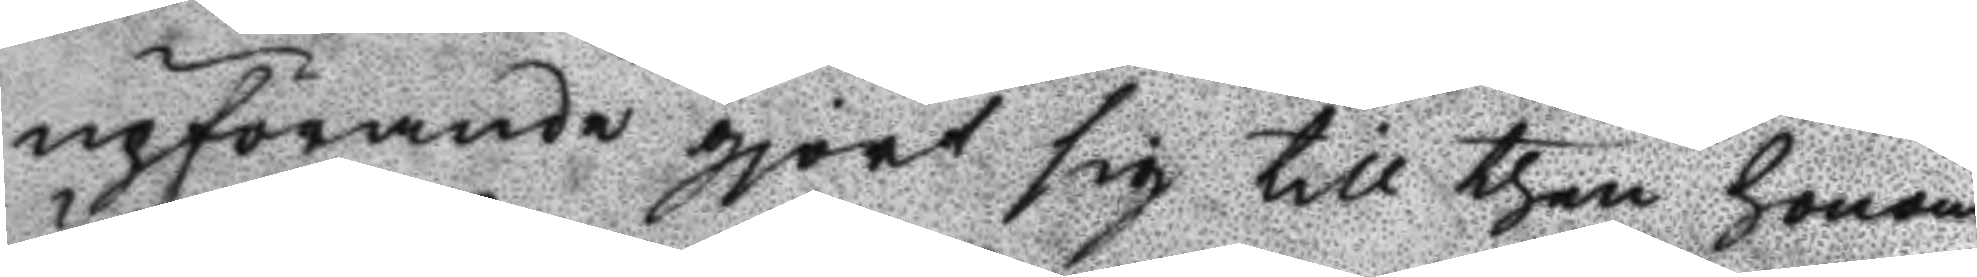upförande gjort sig till then honom
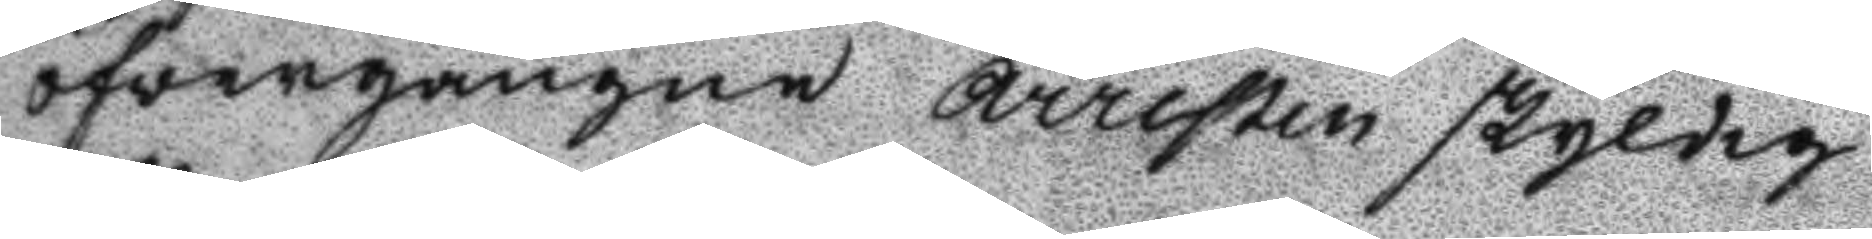öfvergångne Arresten skyldig
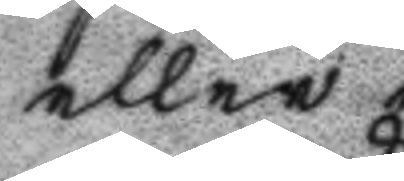eller ej.
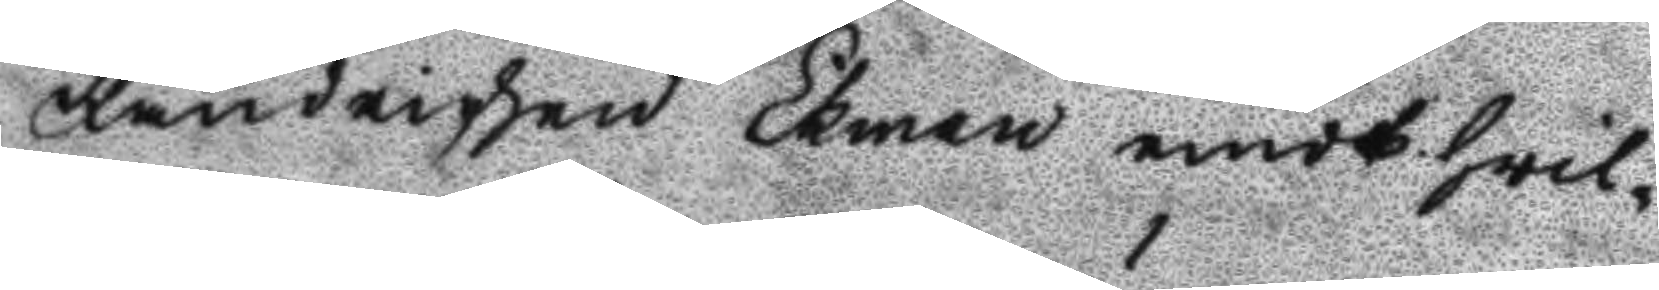Fändrichen Ekman emodt hwil¬
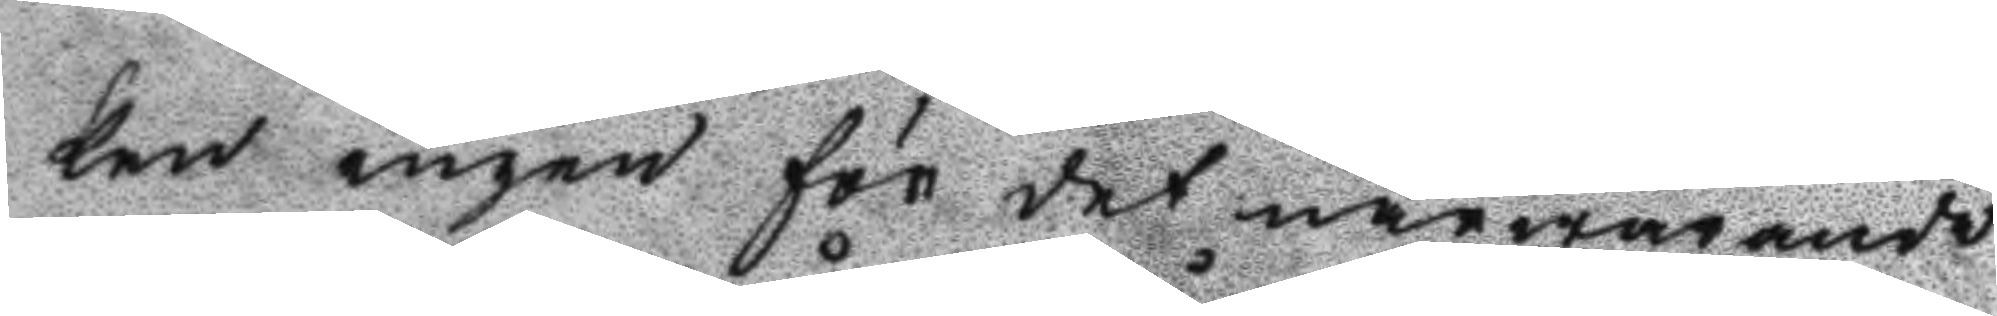ken ingen för det närwarande
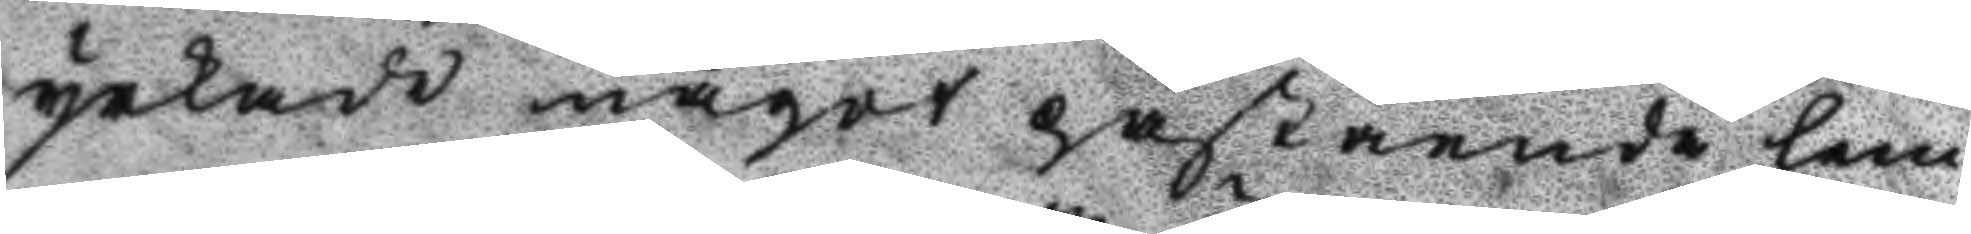yrkade något påstående lem¬
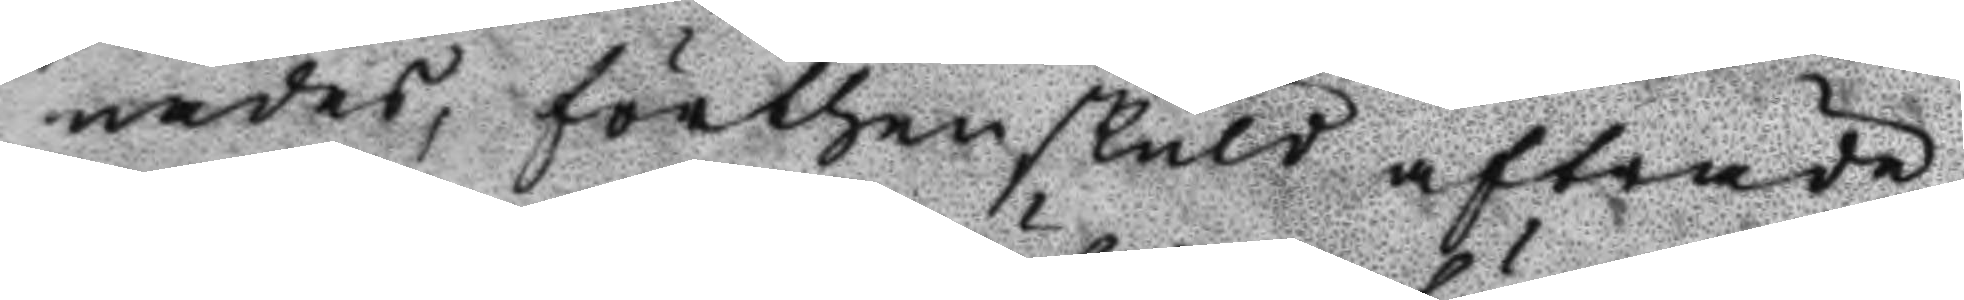nades, förthenskuld afträde,
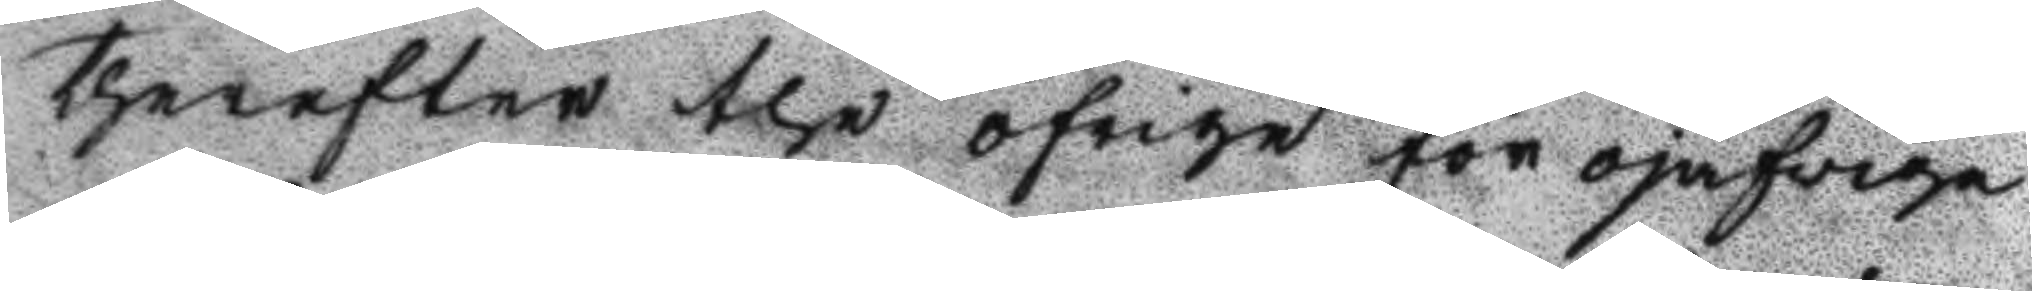therefter the öfrige för ojäfviga
